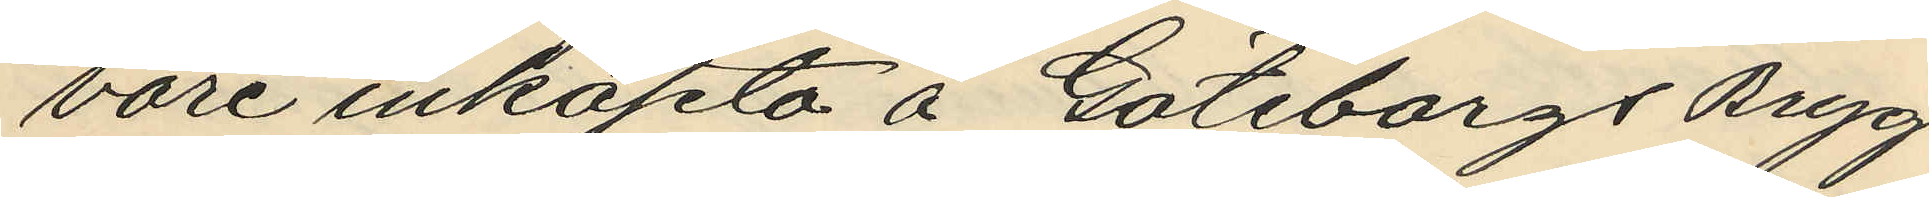vore inköpta å Göteborgs Bryg¬
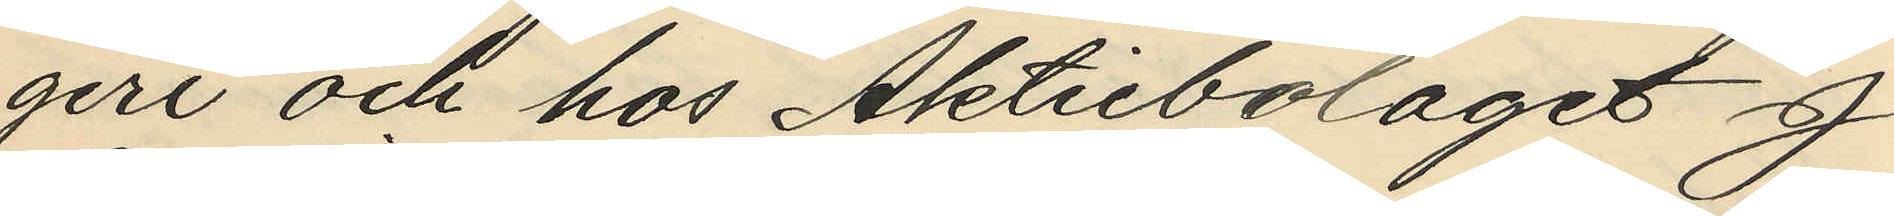geri och hos Aktiebolaget J
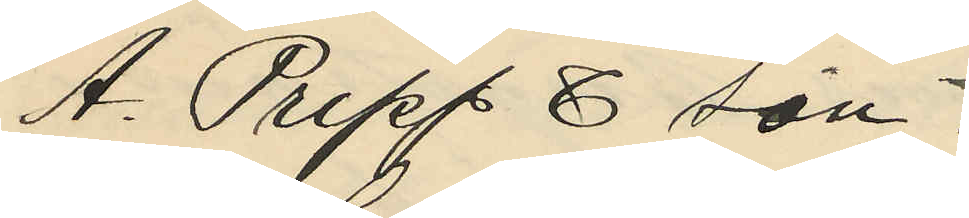A. Pripp & son.
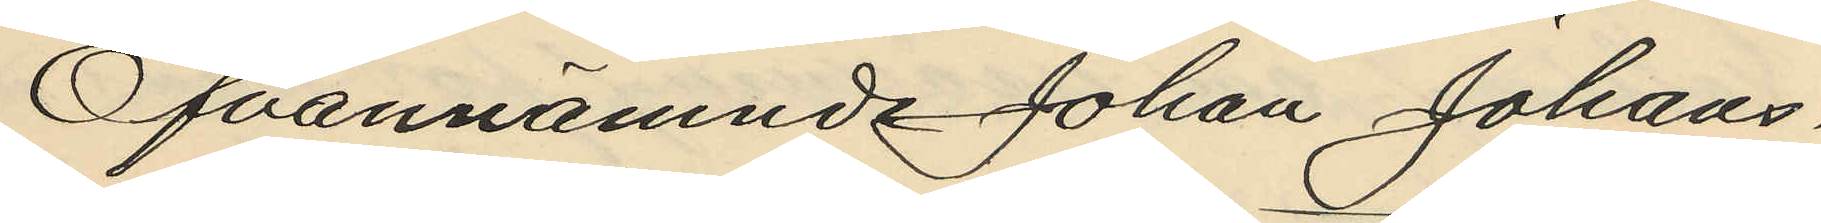Ofvannämnde Johan Johans¬
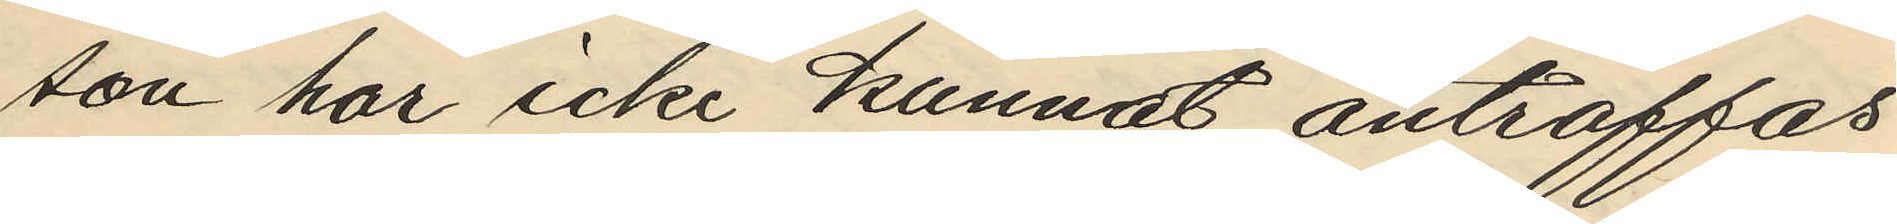son har icke kunnat anträffas.
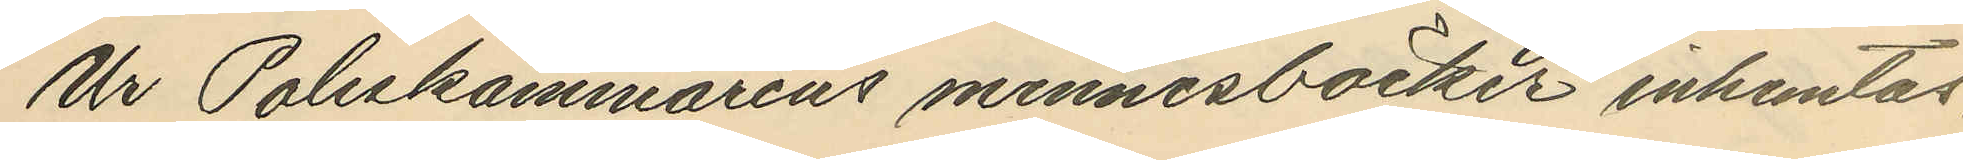Ur Poliskammarens minnesböcker inhemtas,
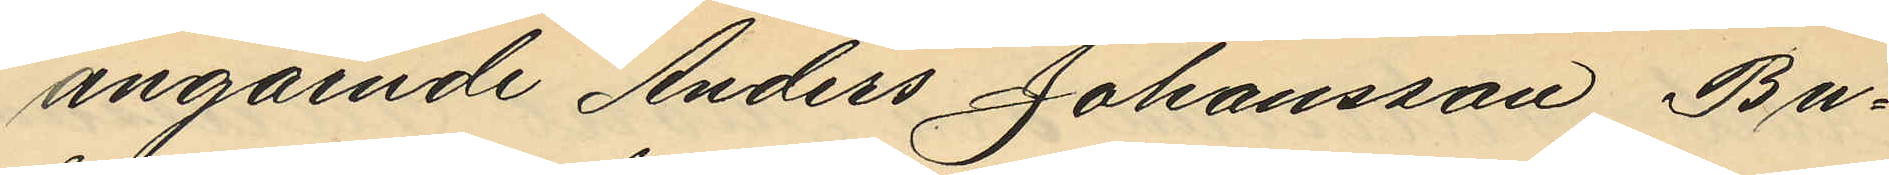angående Anders Johansson Bu¬
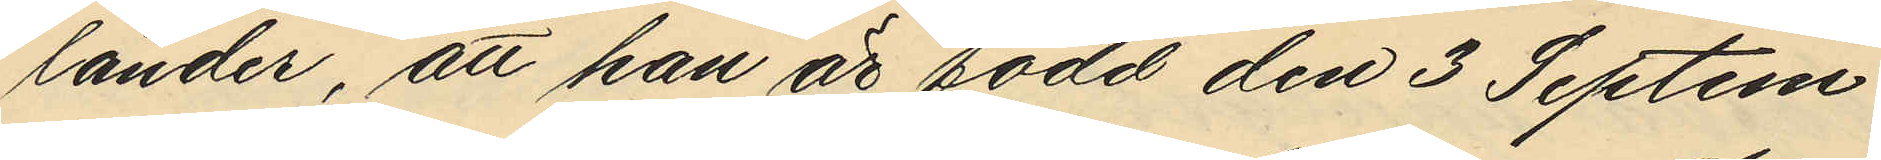lander, att han är född den 3 Septem¬
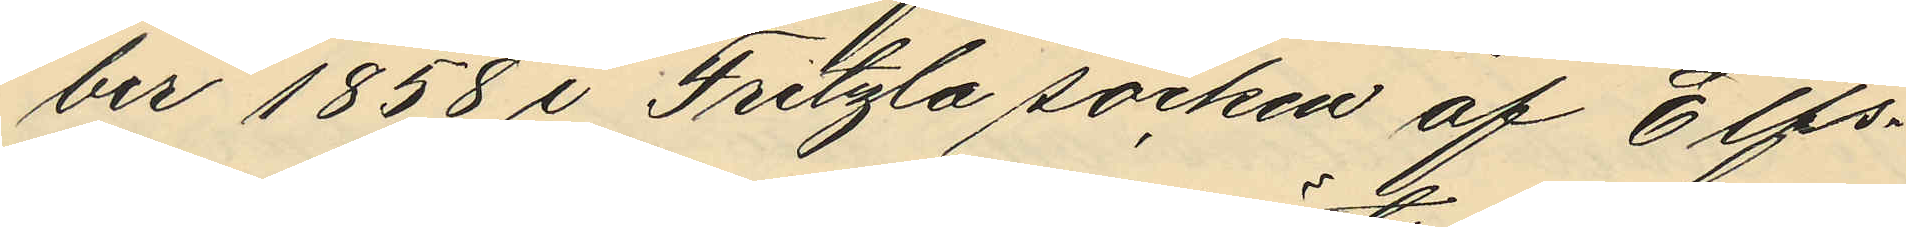ber 1858 i Fritzla socken af Elfs¬
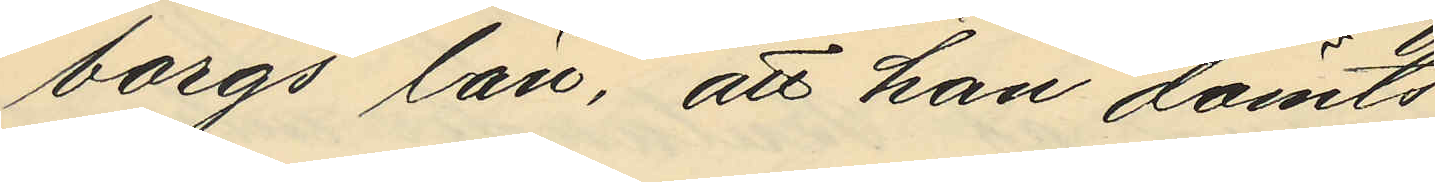borgs län, att han dömts
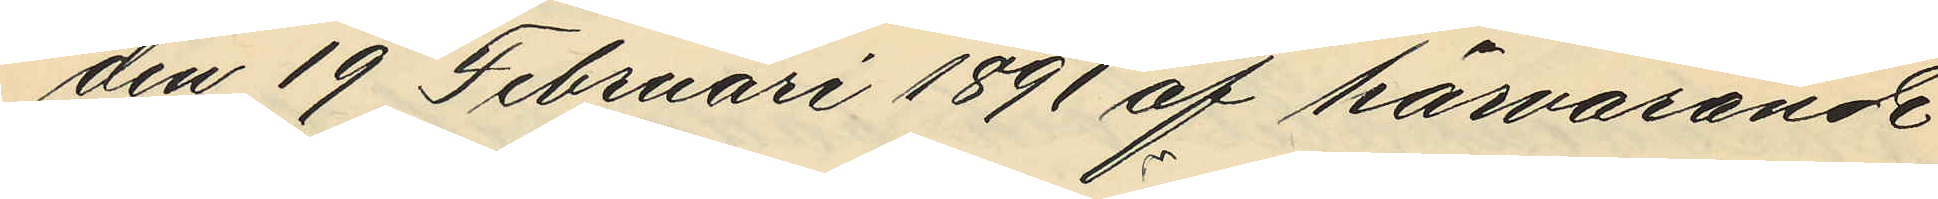den 19 Februari 1891 af härvarande
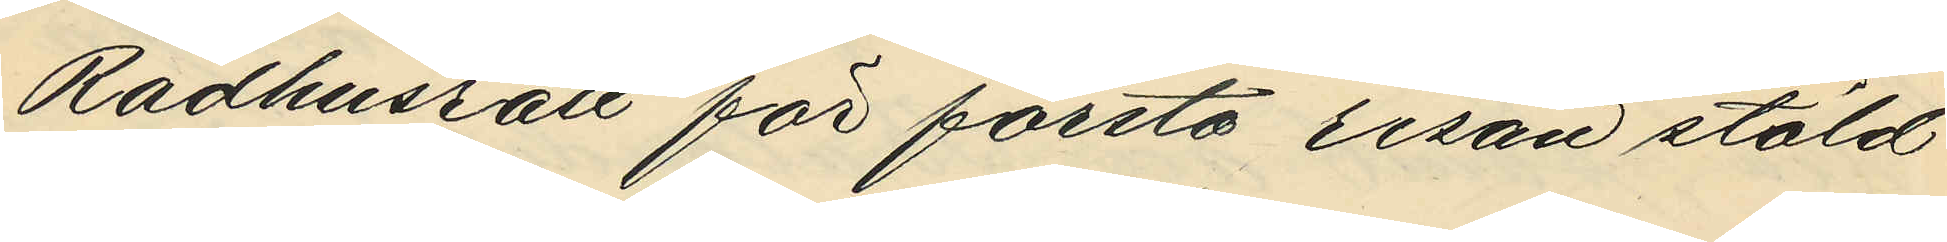Rådhusrätt för första resan stöld
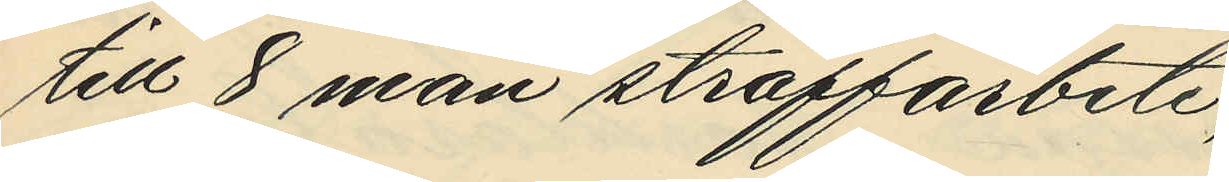till 8 mån straffarbete;
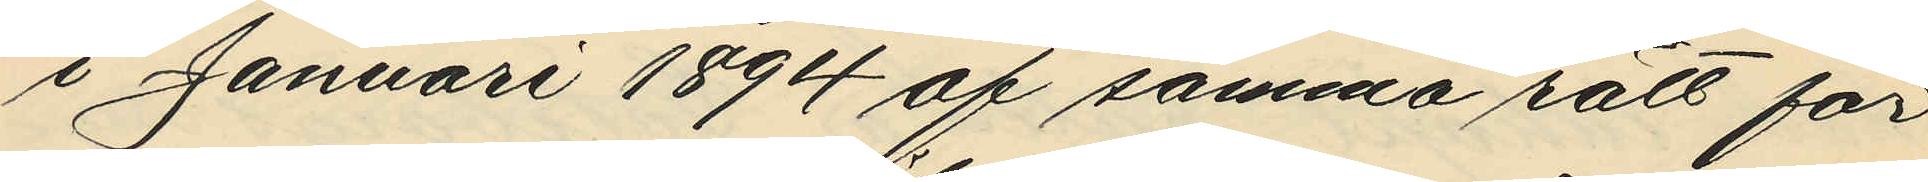i Januari 1894 af samma rätt för
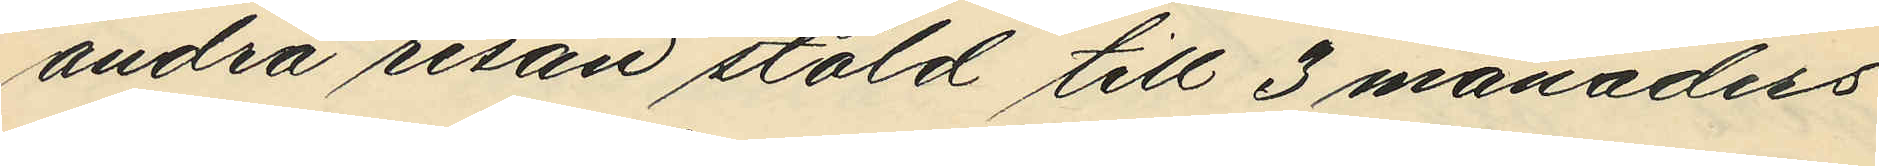andra resan stöld till 3 månaders
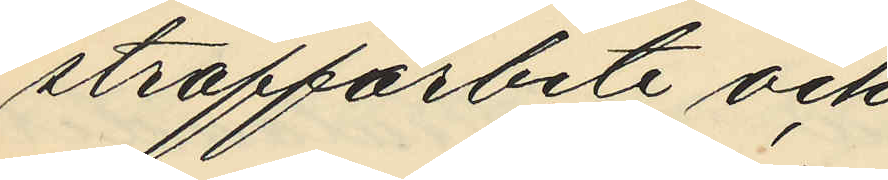straffarbete och
